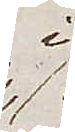i
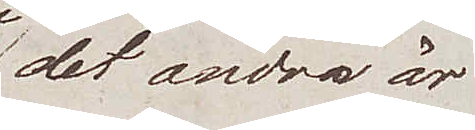det andra är
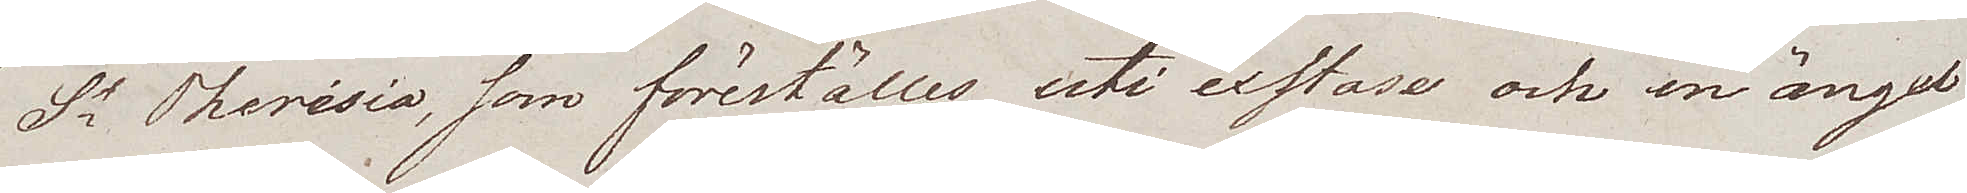Sta Therésia, som föreställes uti exstase och en ängel
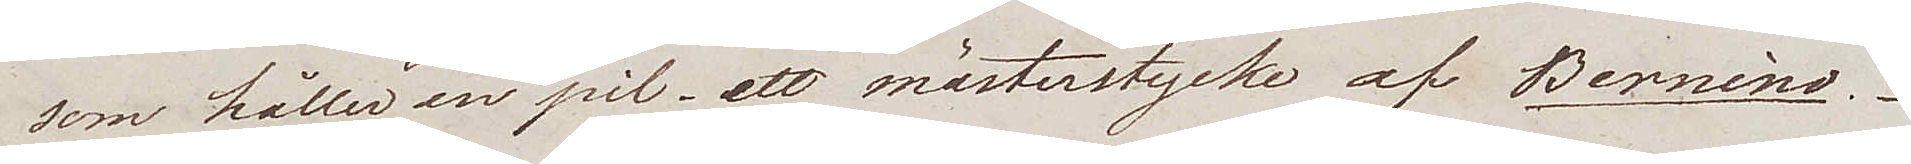som håller en pil – ett mästerstycke av Bernino.
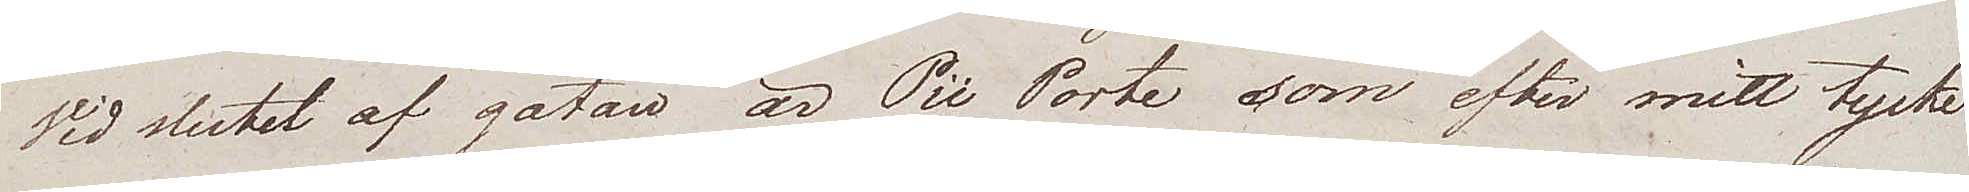Vid slutet av gatan är Pii Porte som efter mitt tycke
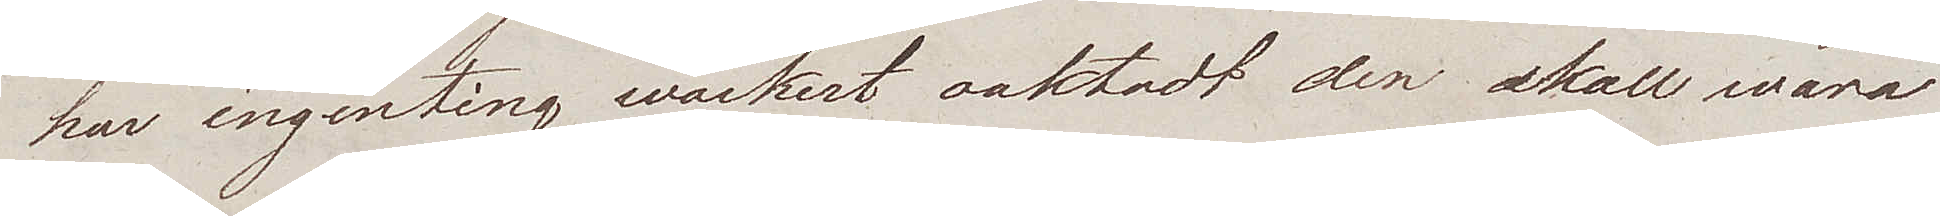har ingenting wackert oaktadt den skall wara
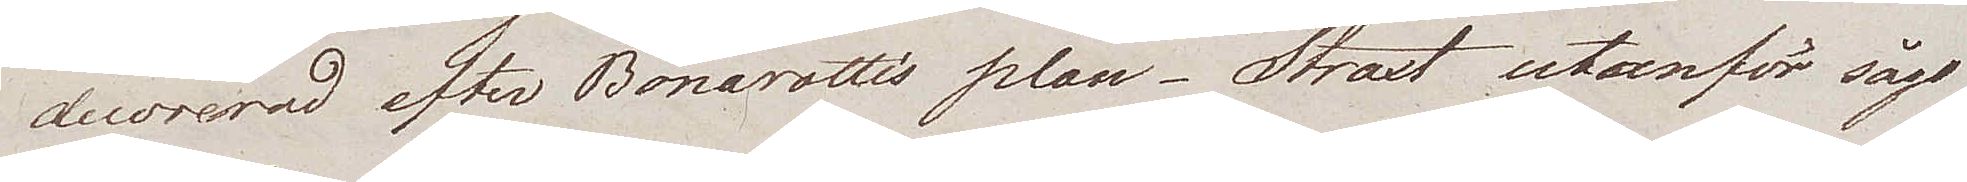decorerad efter Bonarottis plan. Straxt utanför sågo
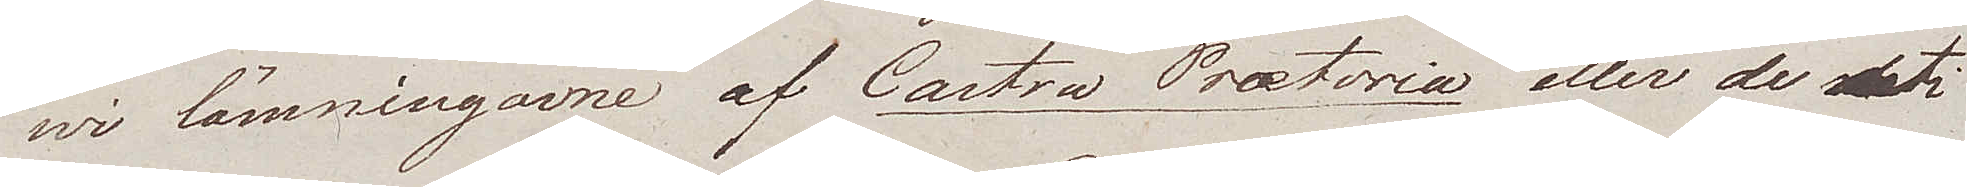wi lämningarne av Castra Prætoria eller de uti
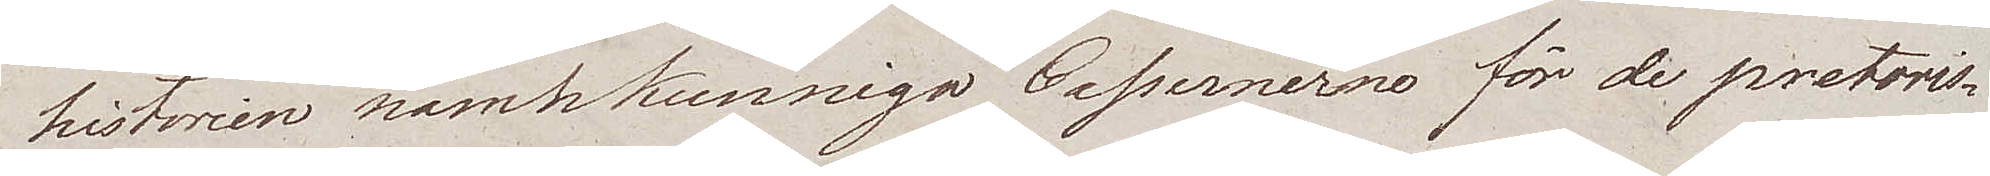historien namnkunniga Cassernerna för de pretoris¬
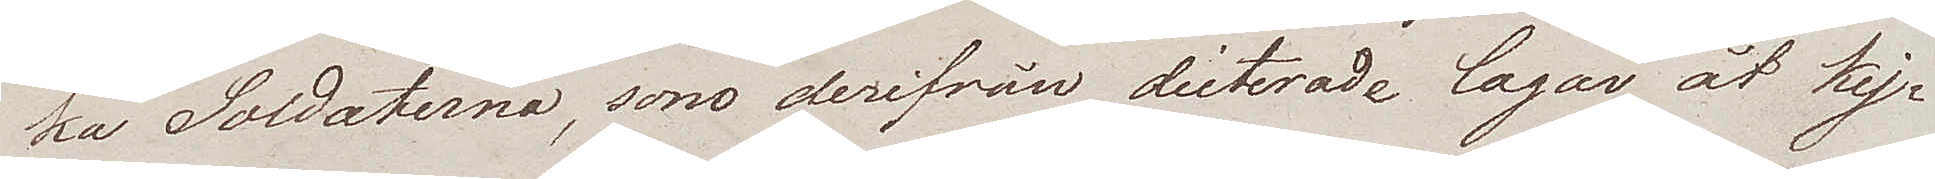ka Soldaterna, som derifrån dicterade lagar åt kej¬
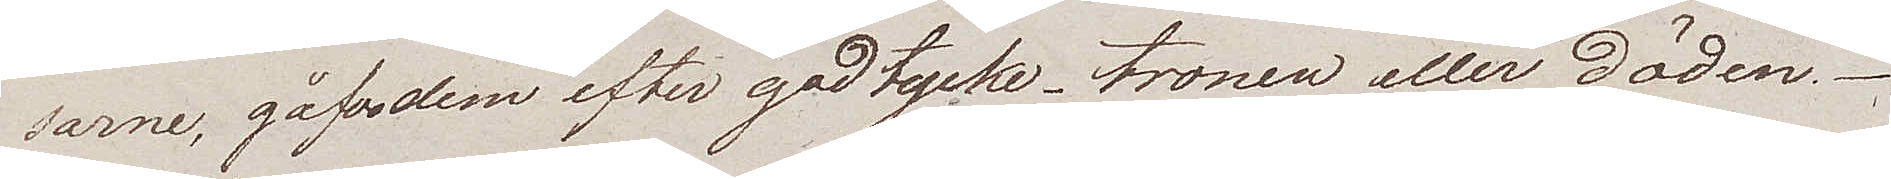sarne, gåfvo dem efter godtycke, tronen eller döden.
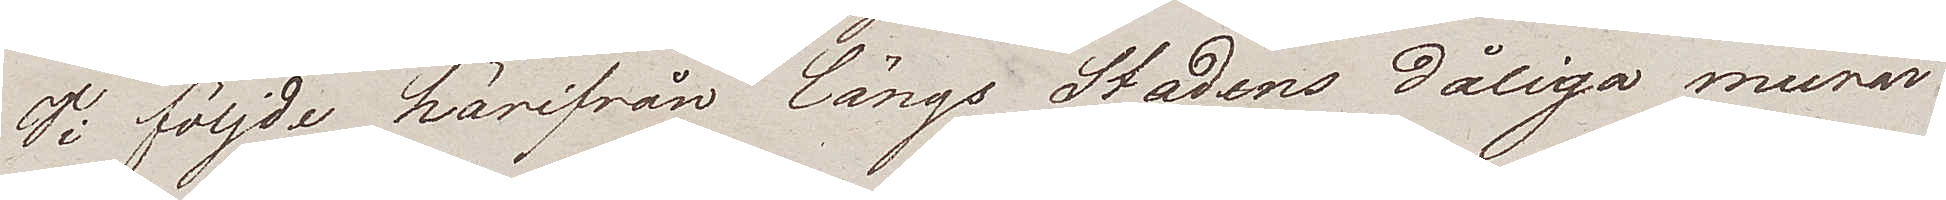Vi följde härifrån längs Stadens dåliga murar.
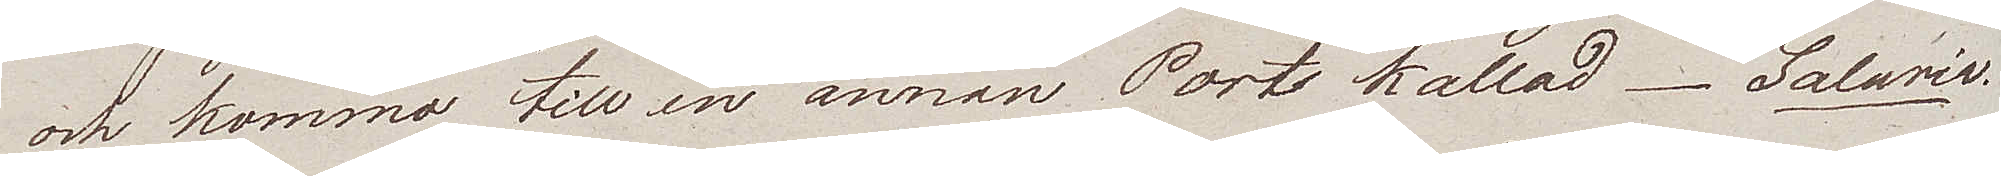och kommo till en annan Port kallad Salaria
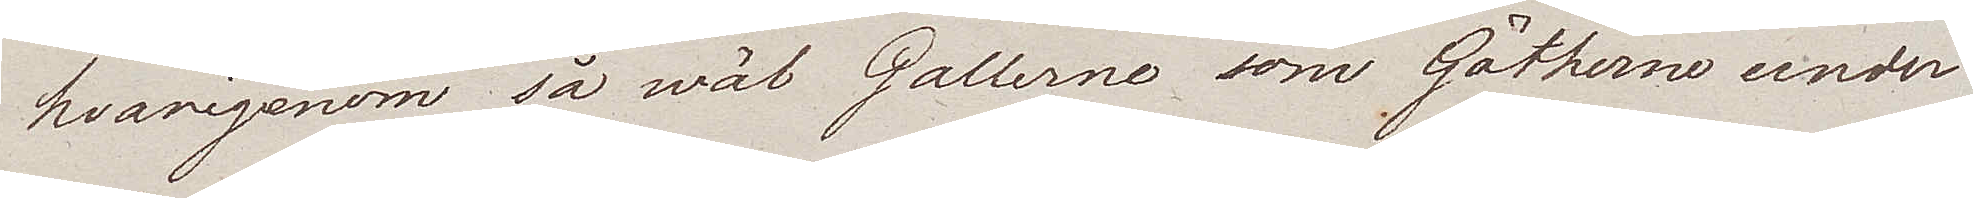hvarigenom så wäl Gallerne som Götherne under
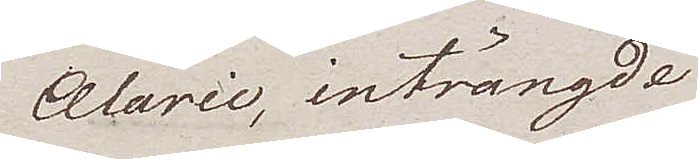Alaric, inträngde
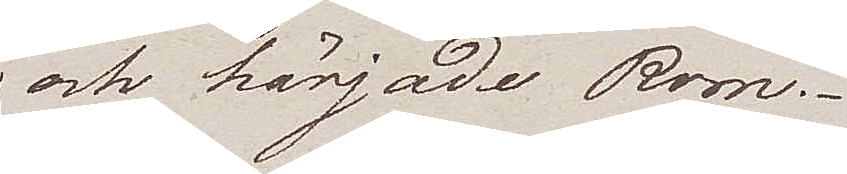och härjade Rom.
